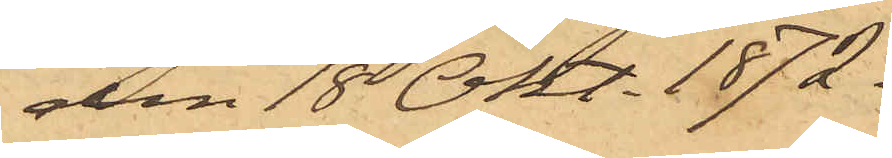den 18 Okt. 1872.
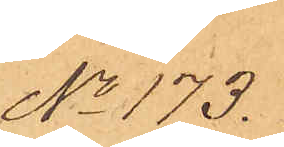No 173.
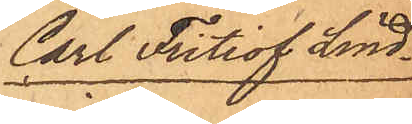Carl Fritiof Lind¬
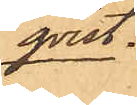qvist.
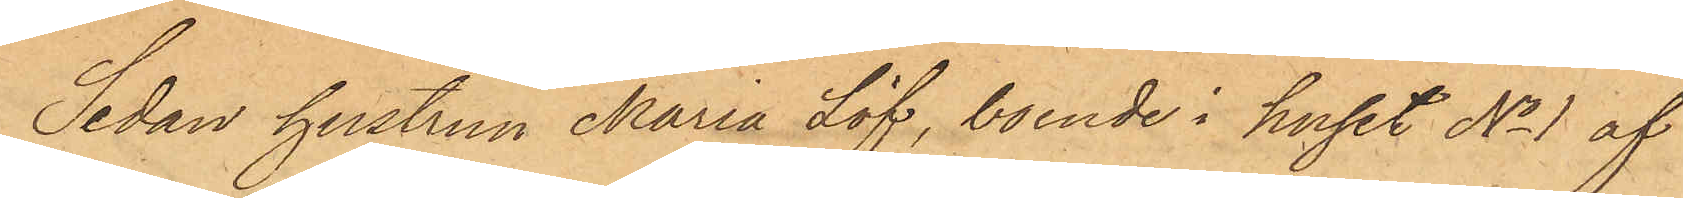Sedan hustrun Maria Löf, boende i huset No 1 af
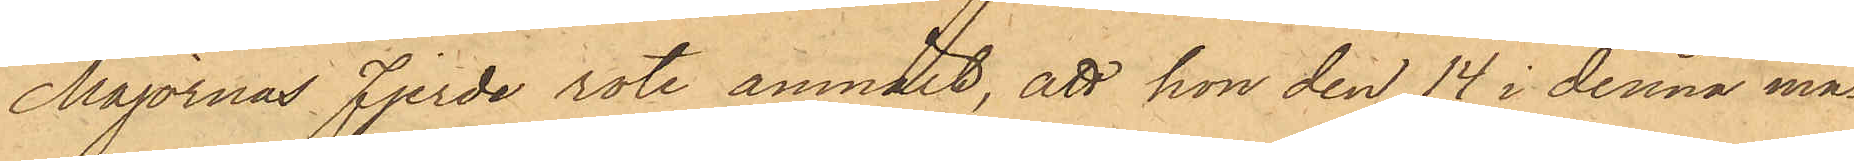Majornas Fjerde rote, anmält, att hon den 14 i denna må¬
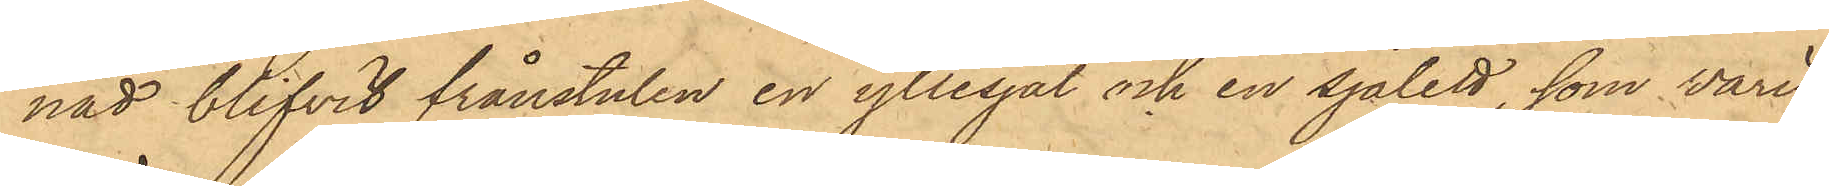nad blifvit frånstulen en yllesjal och en sjalett, som varit
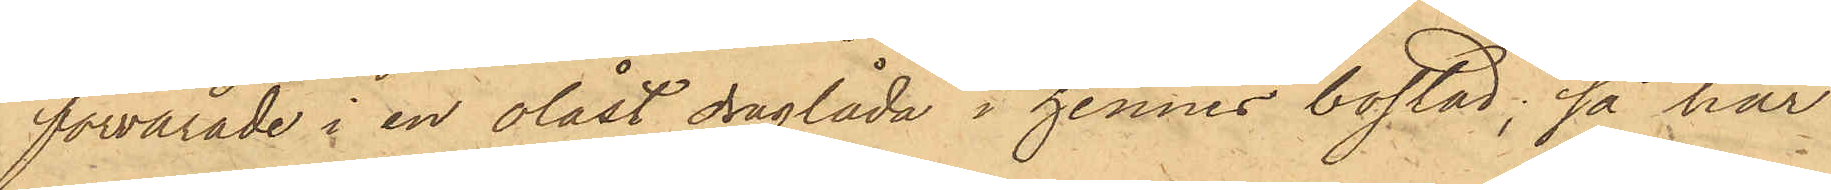förvarade i en olåst draglåda i hennes bostad; så har
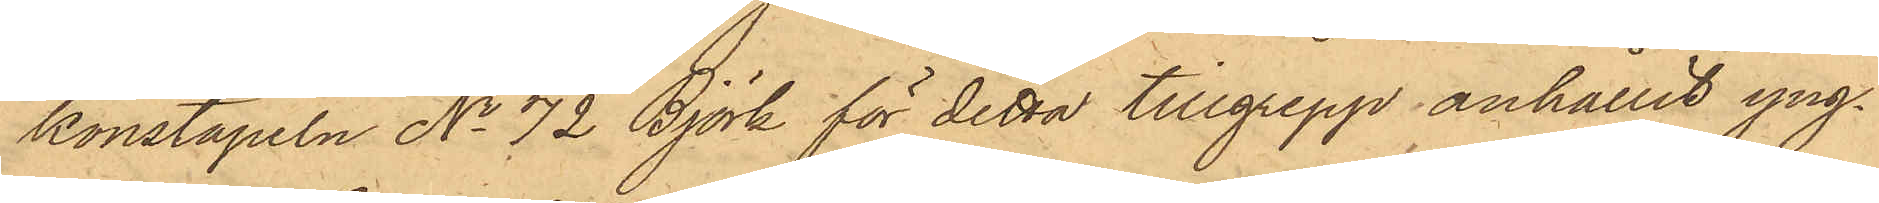konstapeln No 72 Björk för detta tillgrepp anhållit yng¬
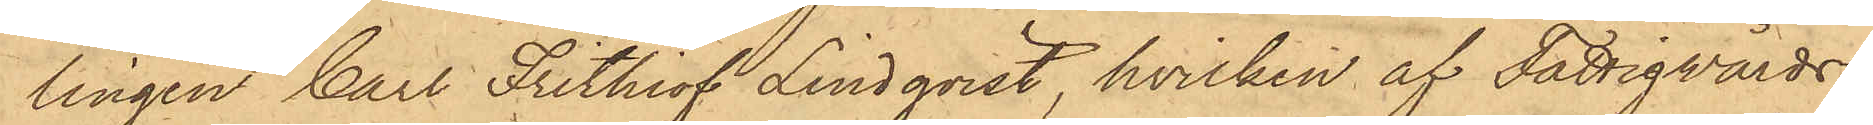lingen Carl Frithiof Lindqvist, hvilken af Fattigvårds¬
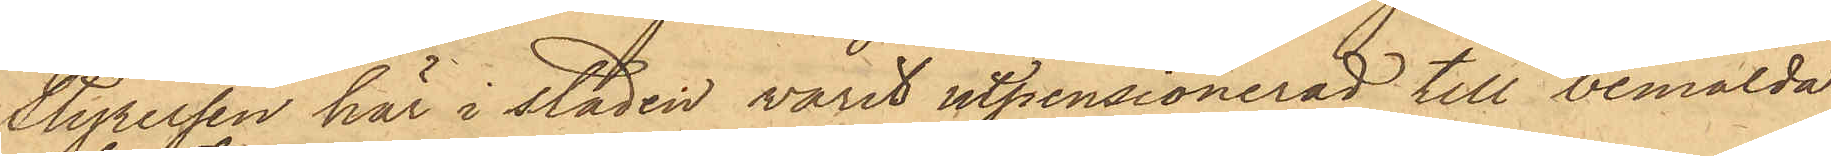Styrelsen här i staden varit utpensionerad till bemälda
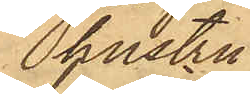hustru
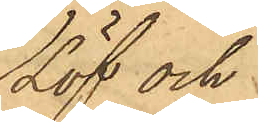Löf och
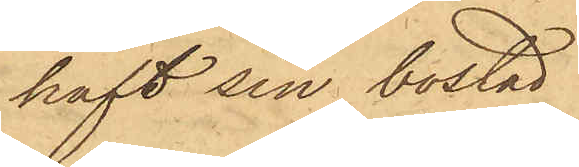haft sin bostad
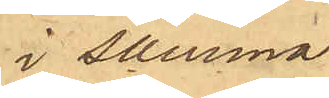i samma
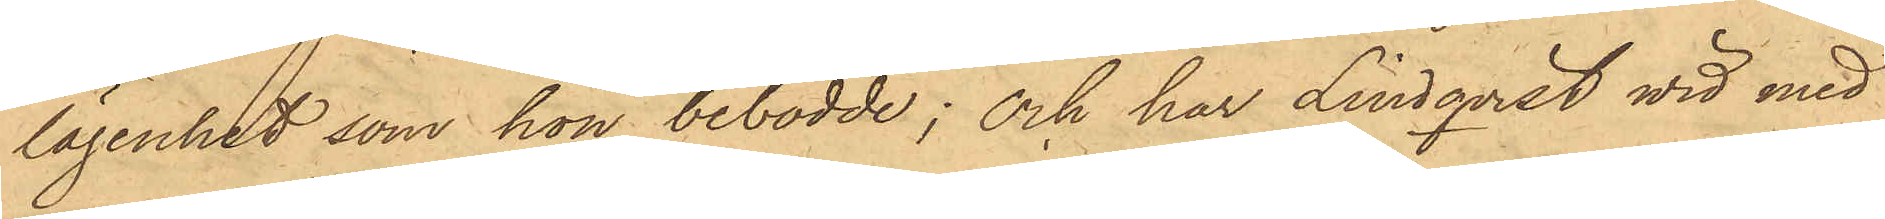lägenhet, som hon bebodde; och har Lindqvist vid med
